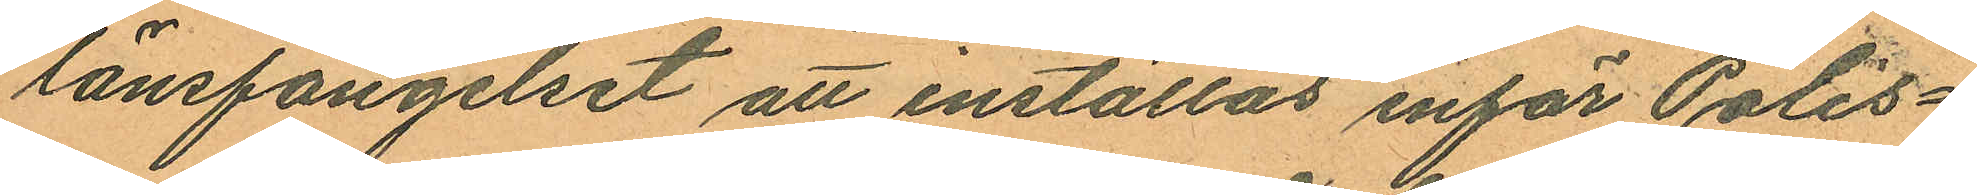länsfängelset att inställas inför Polis¬
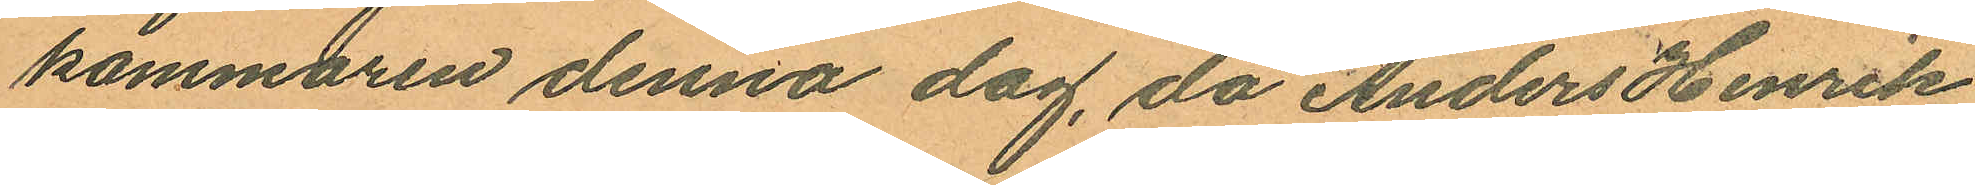kammaren denna dag, då Anders Henrik
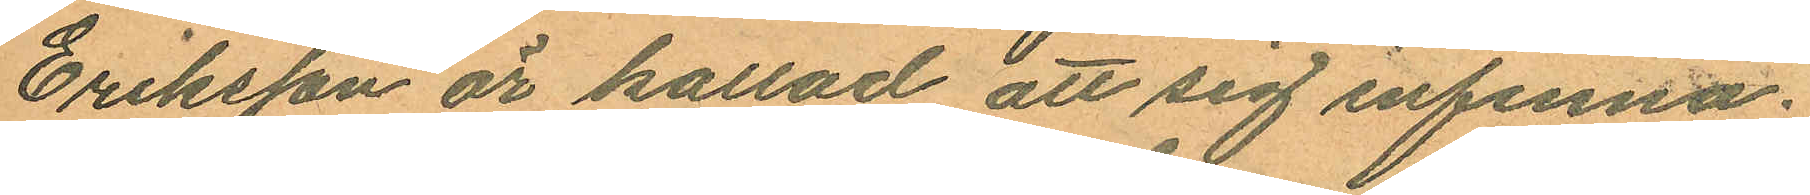Eriksson är kallad att sig infinna.
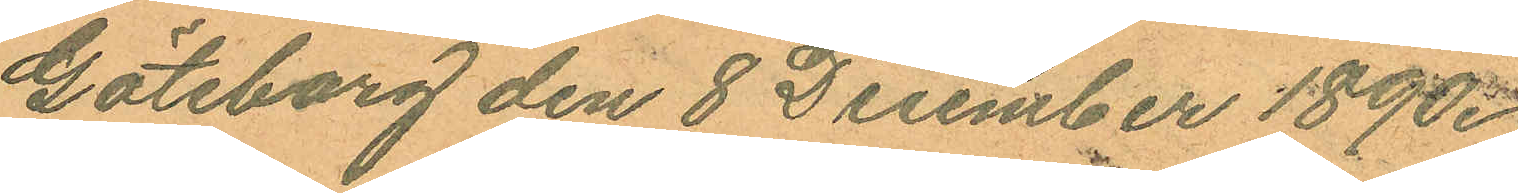Göteborg den 8 December 1890.
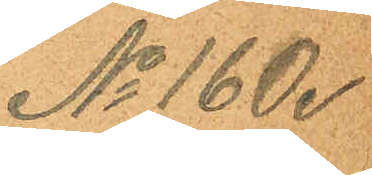No 160.
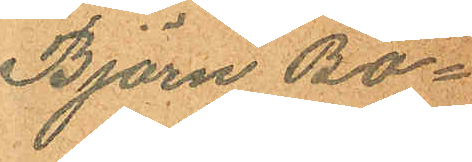Björn Bo¬
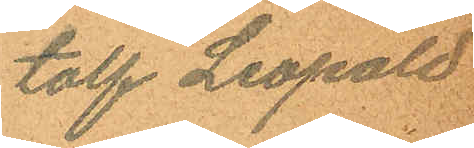tolf Leopold
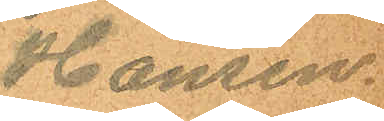Hansen.
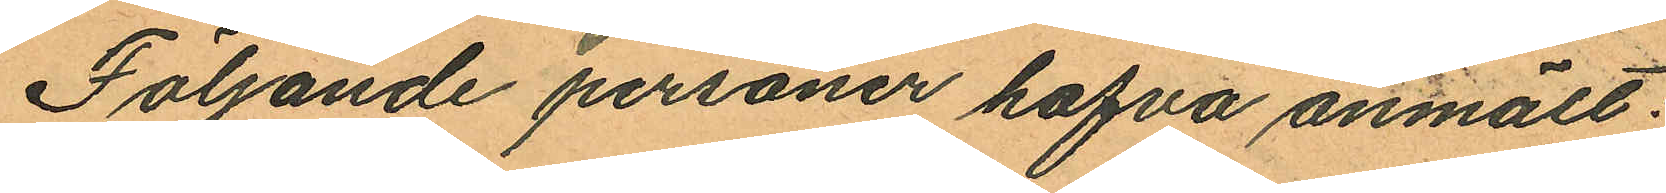Följande personer hafva anmält:
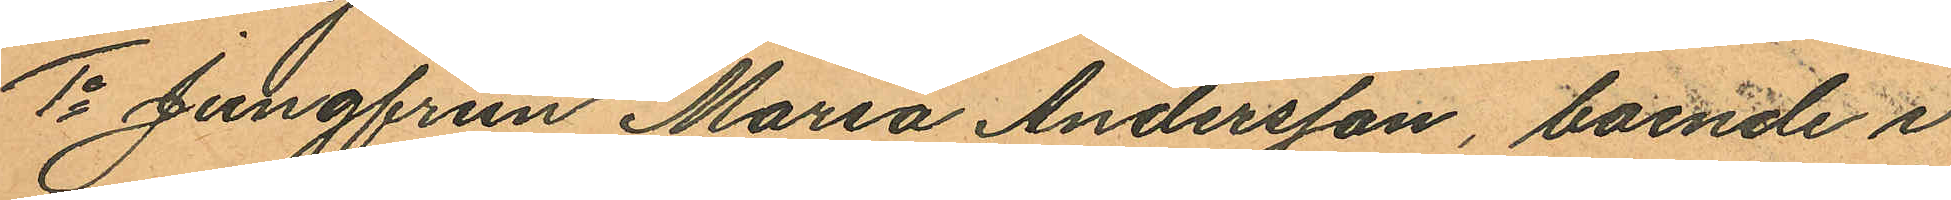1o Jungfrun Maria Andersson, boende i
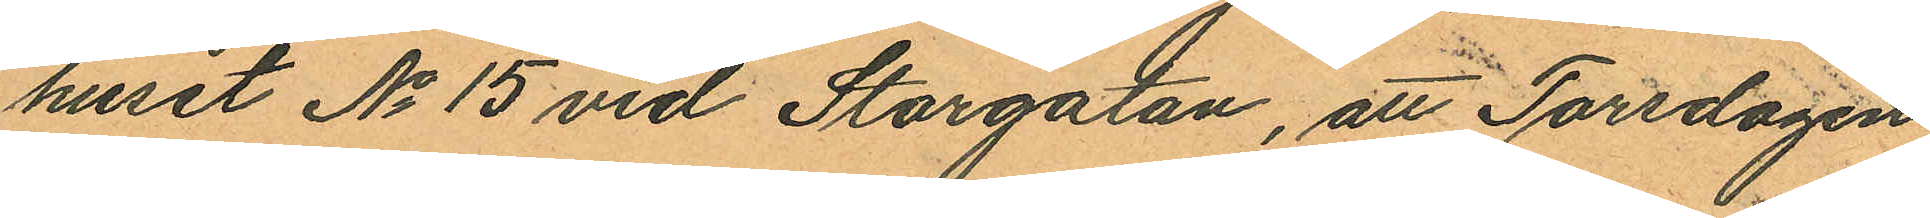huset No 15 vid Storgatan, att Torsdagen
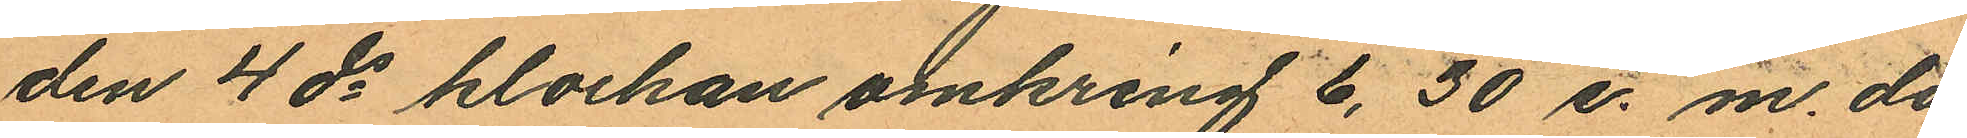den 4 ds klockan omkring 6,30 e. m. då
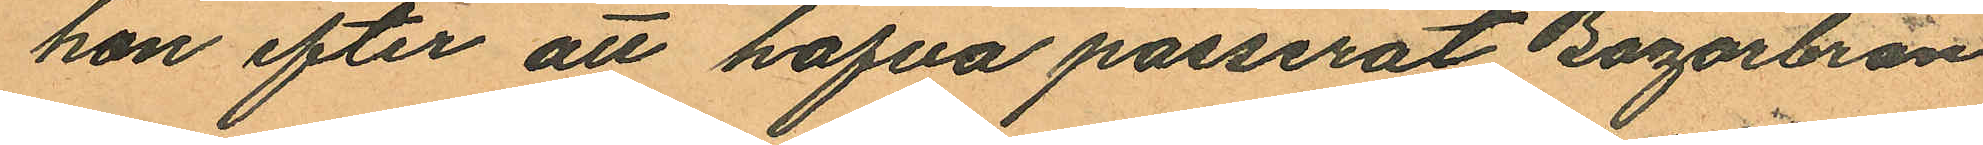hon efter att hafva passerat Bazarbron
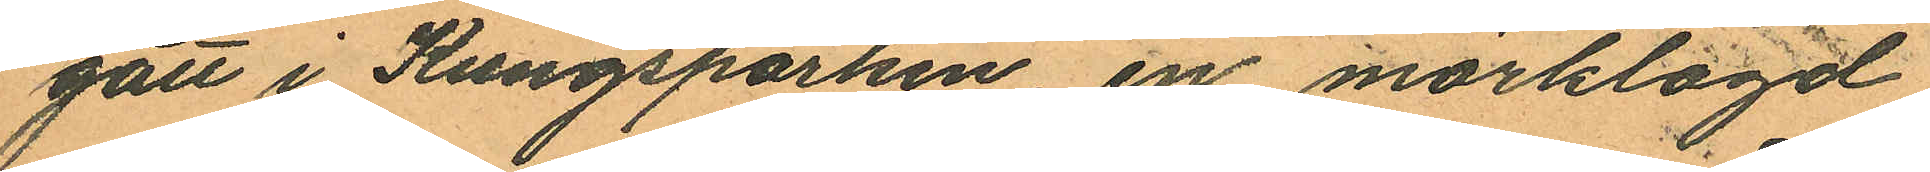gått i Kungsparken, en mörklagd,
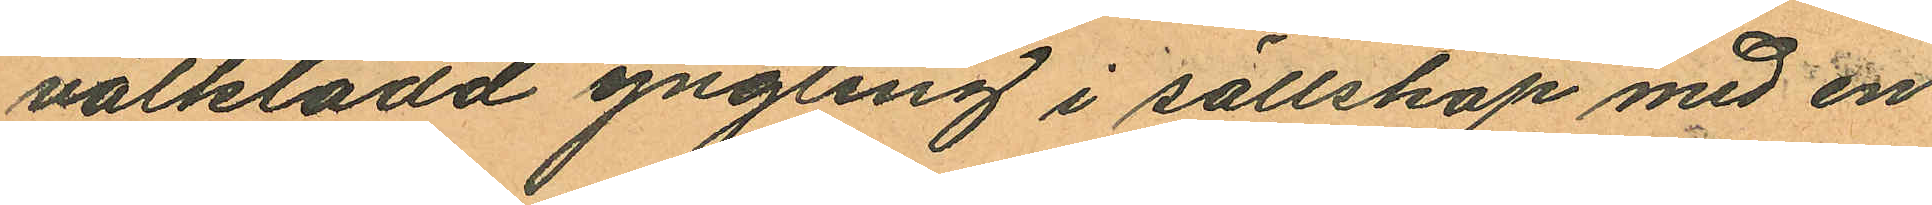välklädd yngling i sällskap med en
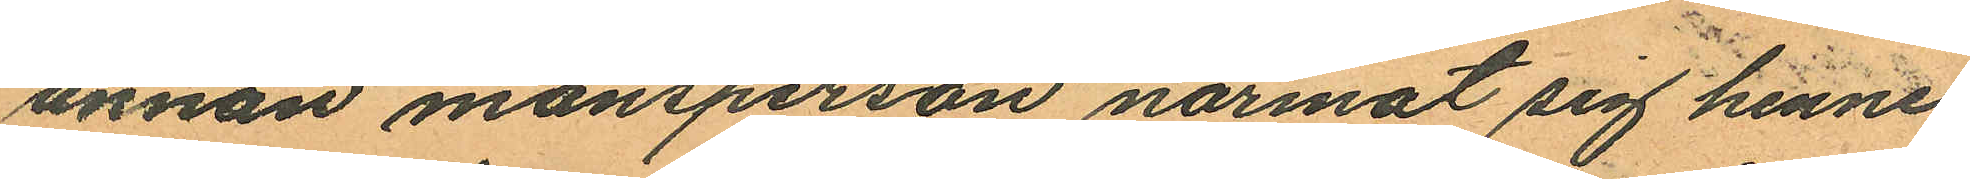annan mansperson närmat sig henne,
